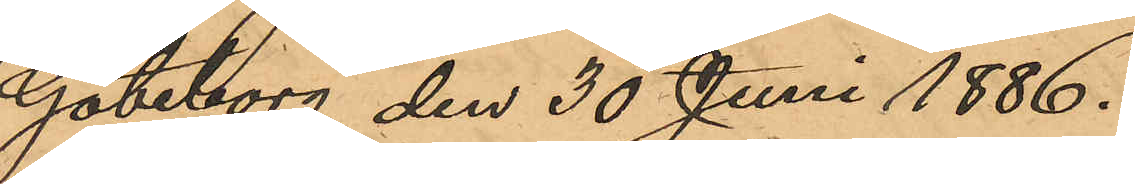Göteborg den 30 Juni 1886.
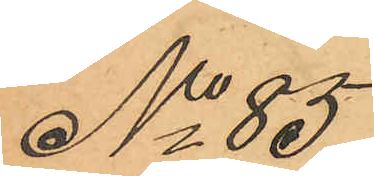No 85
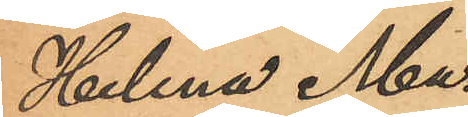Helena Ma¬
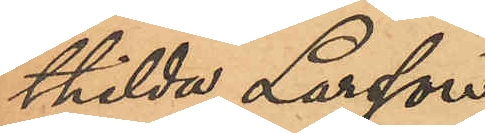thilda Larsson
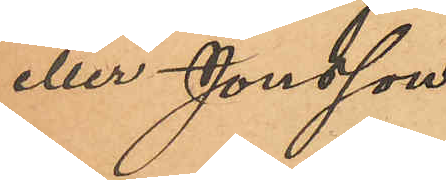eller Jonsson.
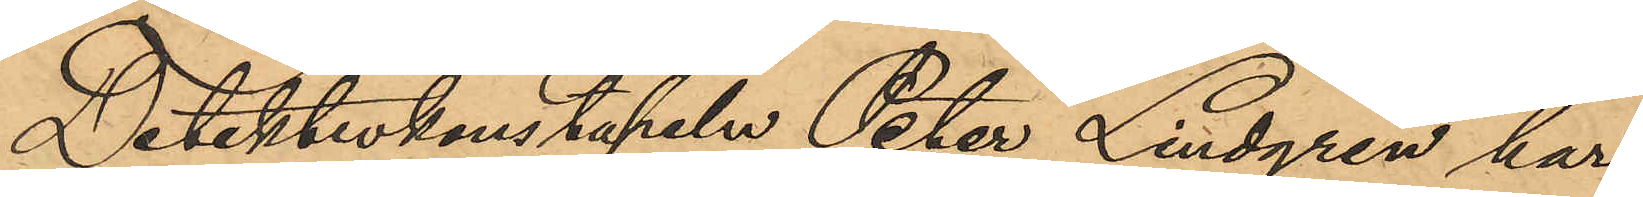Detektivkonstapeln Peter Lindgren har
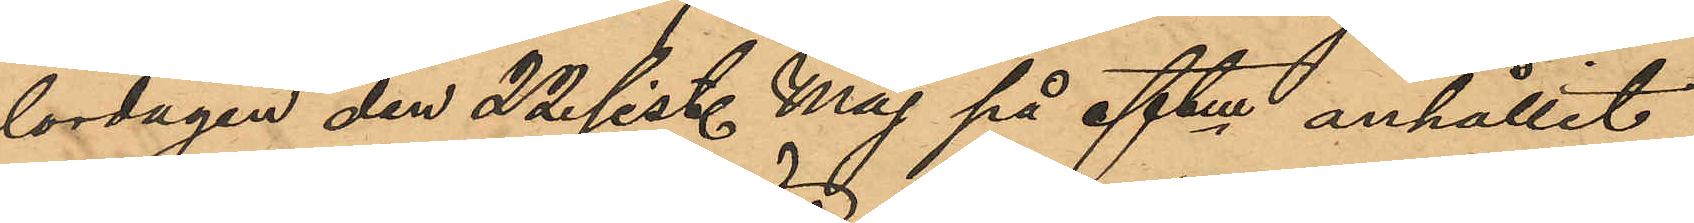lördagen den 22 sist. Maj på eftm anhållit
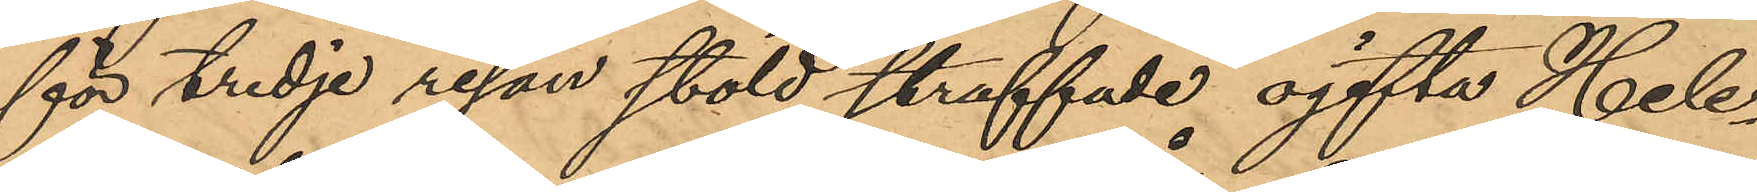för tredje resan stöld straffade ogifta Hele¬
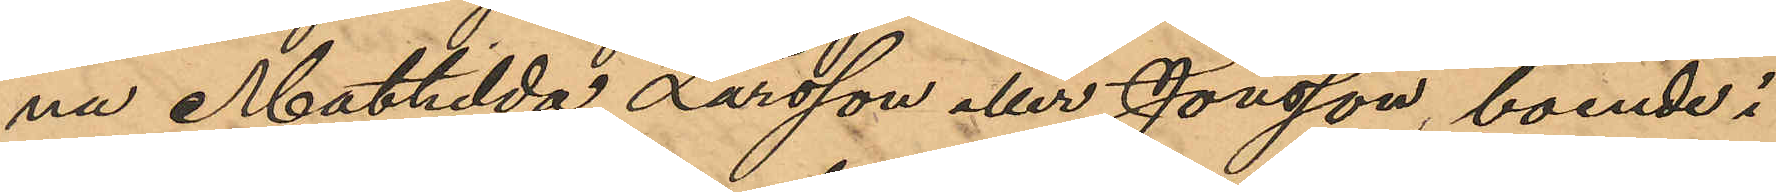na Mathilda Larsson eller Jonsson, boende i
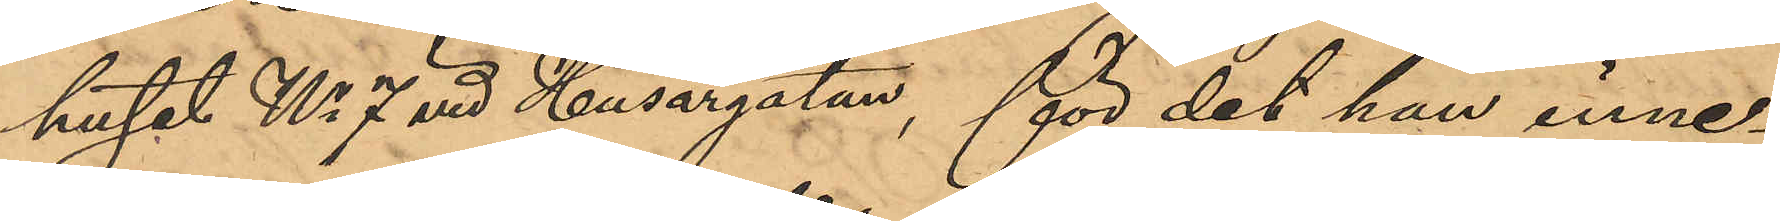huset No 7 vid Husargatan, för det hon inne¬
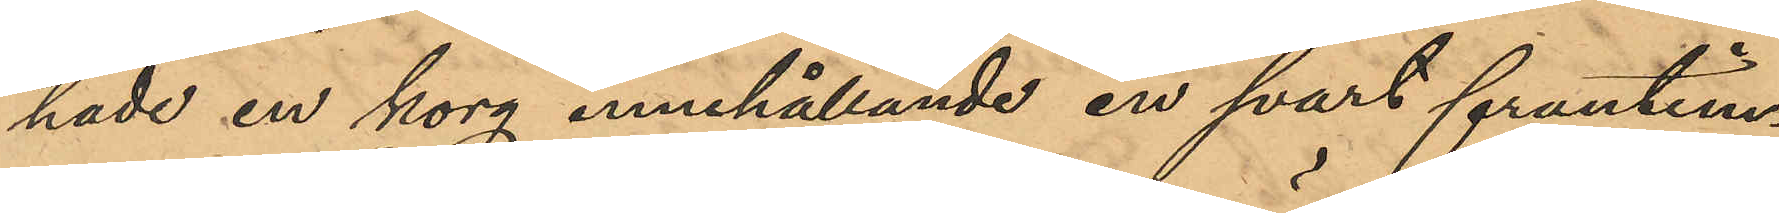hade en korg innehållande en svart fruntim¬
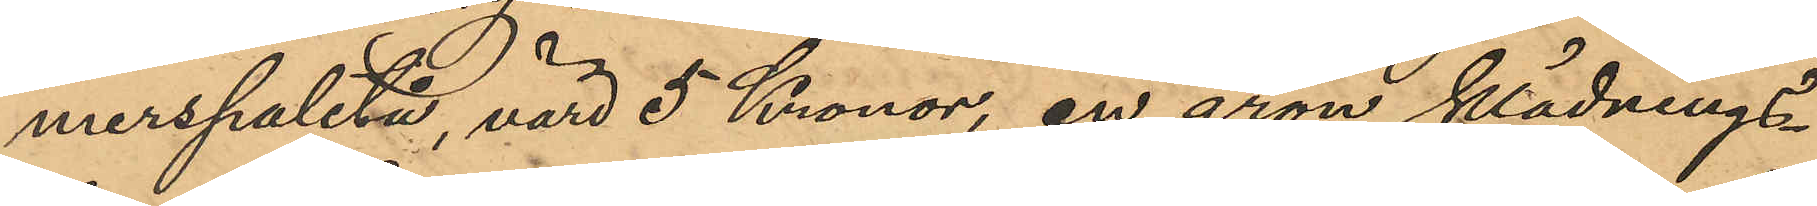merspaletå, värd 5 Kronor, en grön klädnings¬
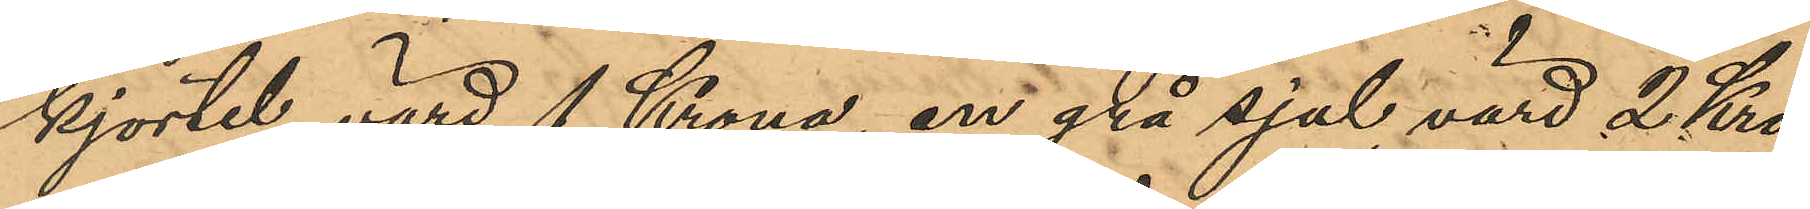kjortel, värd 1 Krona, en grå sjal, värd 2 Kro¬
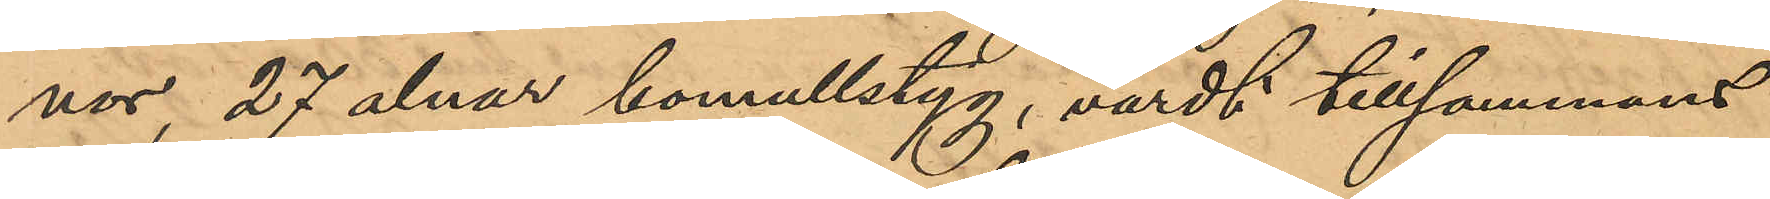nor, 27 alnar bomullstyg, värdt tillsammans
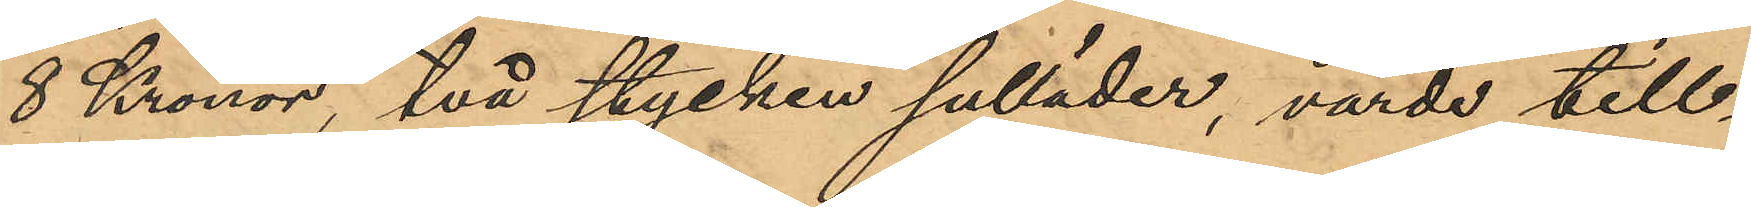8 Kronor, två stycken sulläder, värde till¬
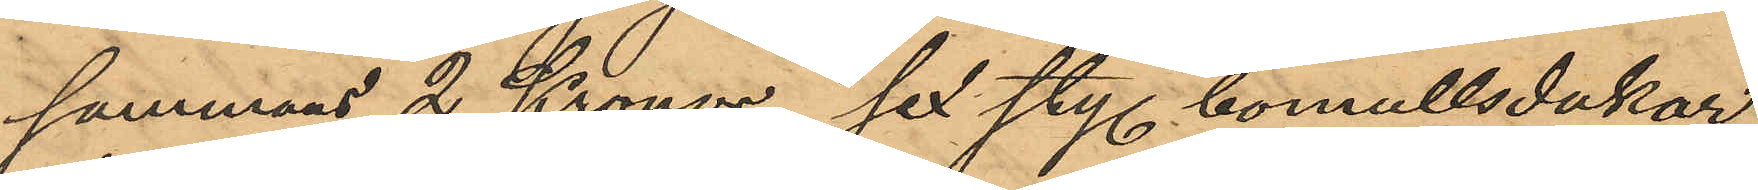sammans 2 Kronor, sex sty. bomullsdukar,
